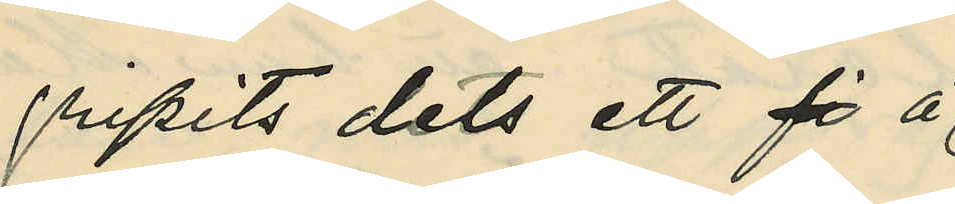gripits dels ett fi å
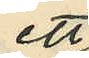ett
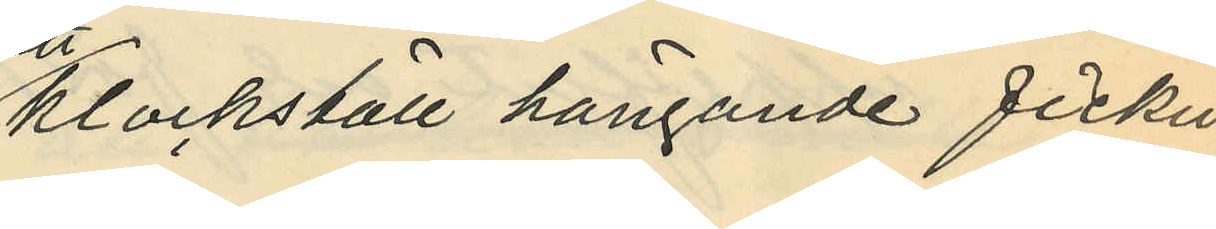klockställ hängande fickur
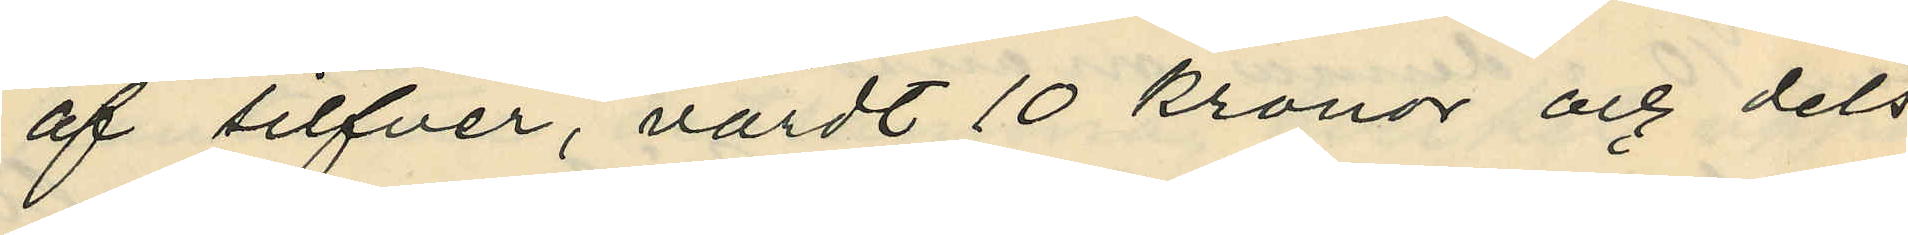af silfver, värdt 10 kronor och dels
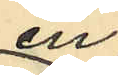en
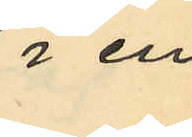i en
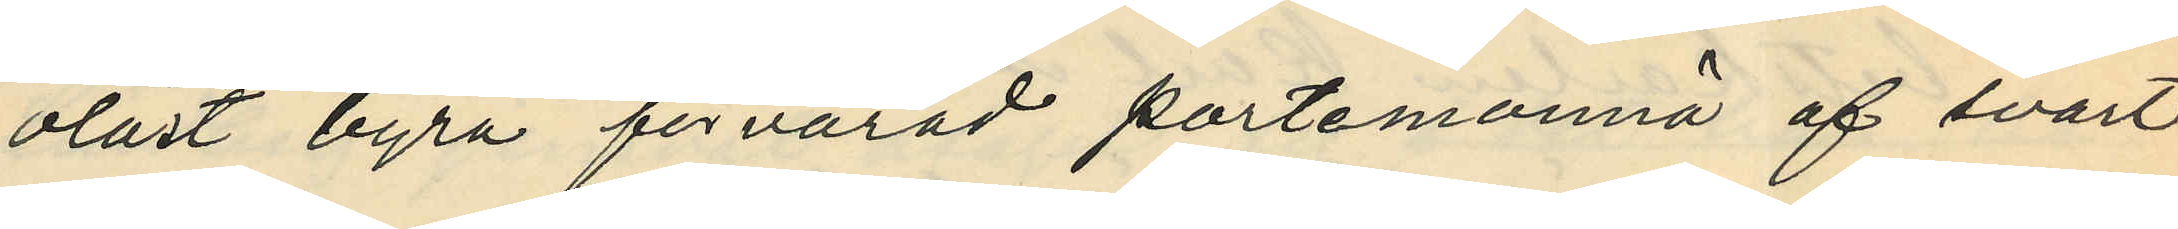olåst byrå förvarad portemonnä af svart
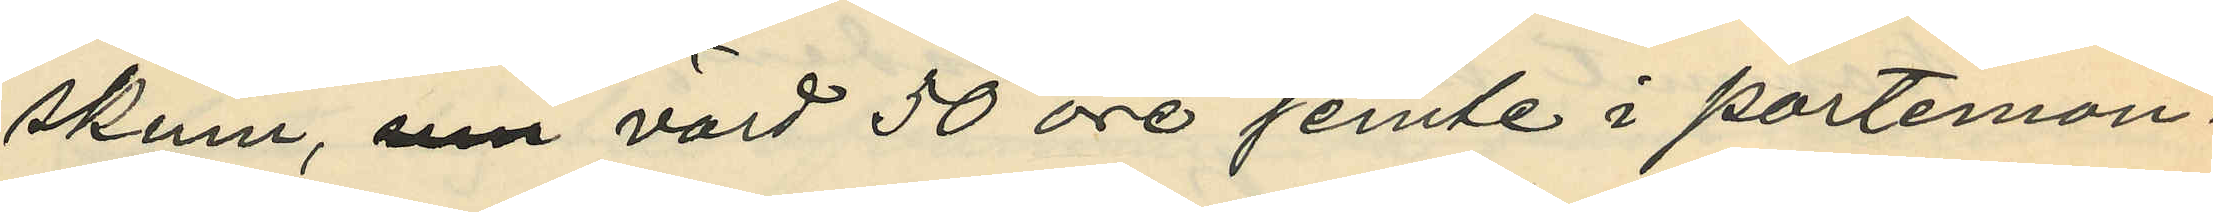skinn, som värd 50 öre jemte i portemon¬
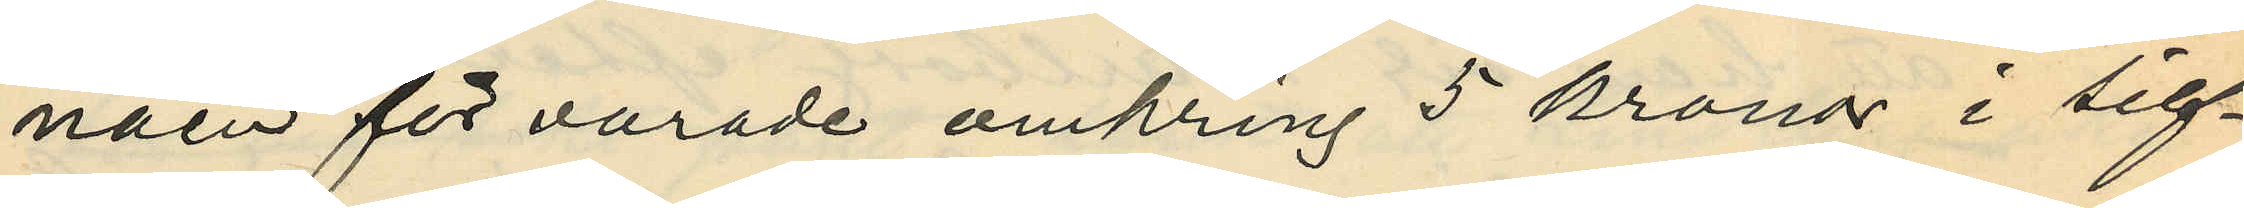näen förvarade omkring 5 kronor i silf¬
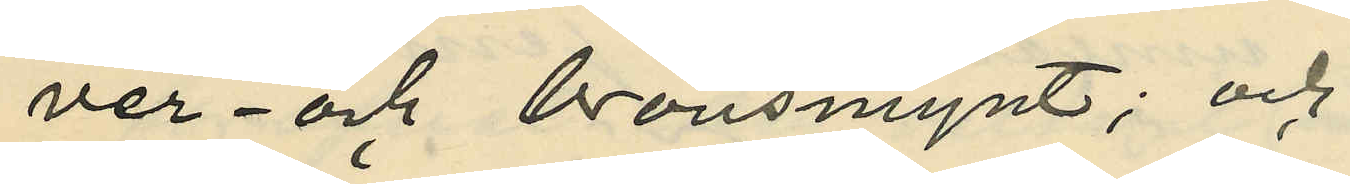ver- och bronsmynt; och
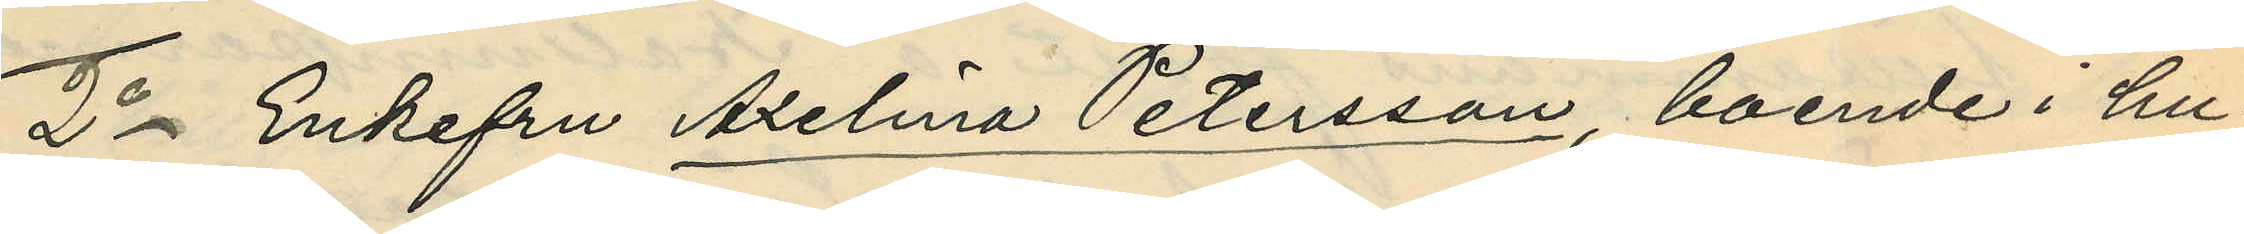2o Enkefru Axelina Petersson, boende i hu¬
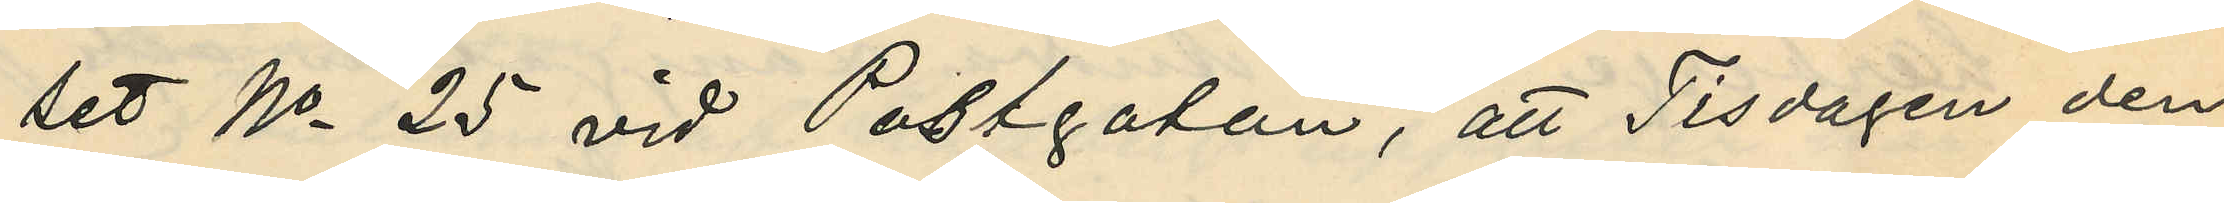set No 25 vid Postgatan, att Tisdagen den
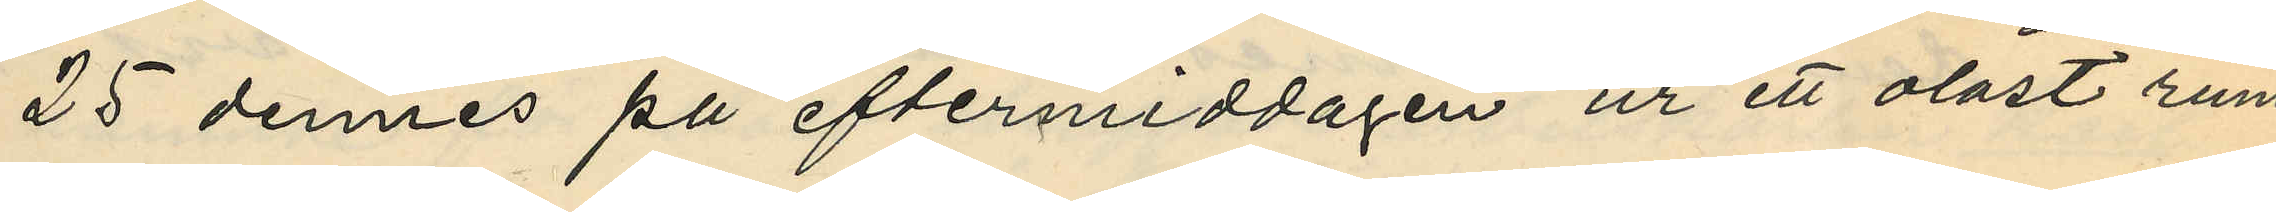25 dennes på eftermiddagen ur ett olåst rum
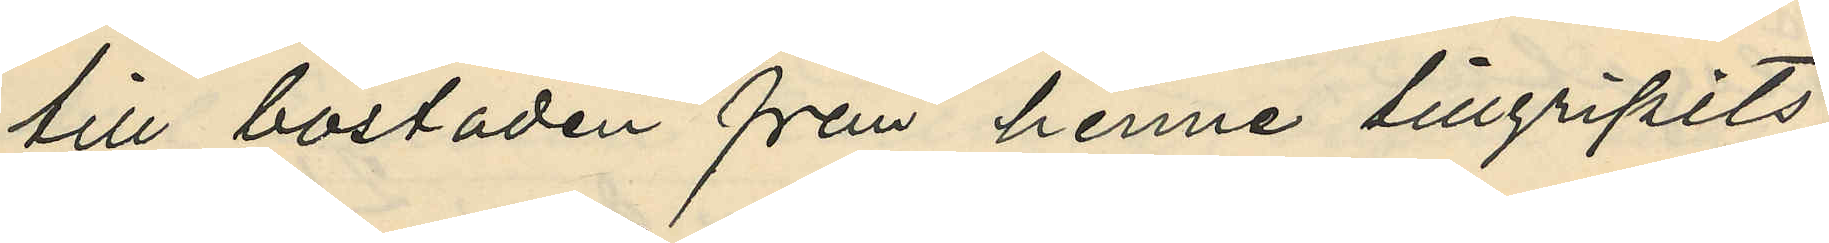till bostaden från henne tillgripits
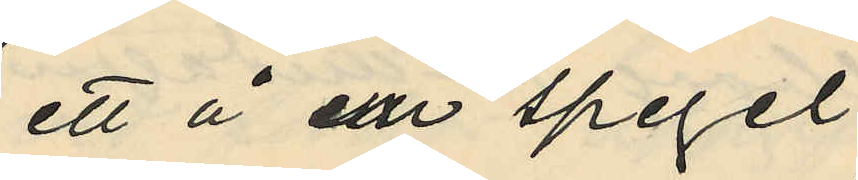ett å en spegel
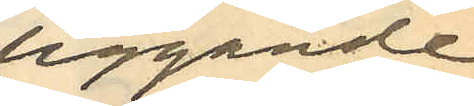liggande
